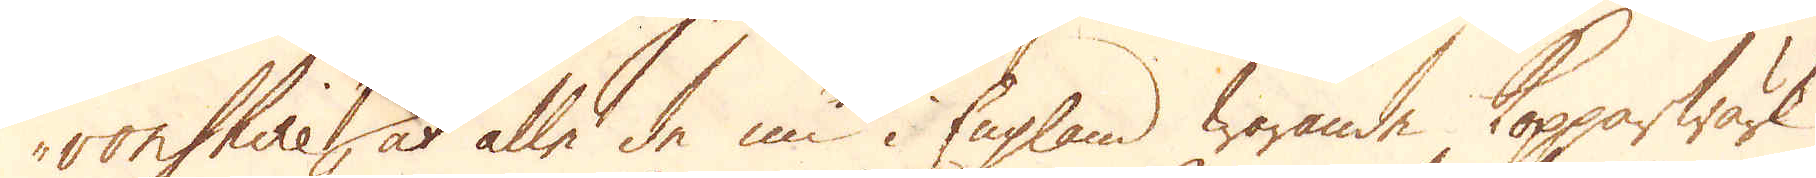vonshire, at alla de nu i England warande Kopparwärk,
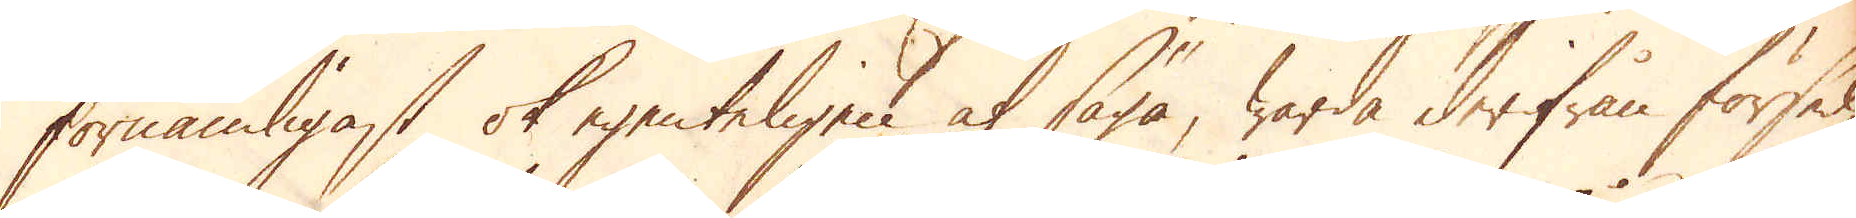förnämligast ok egenteligen at säga, warda derifrån försed-
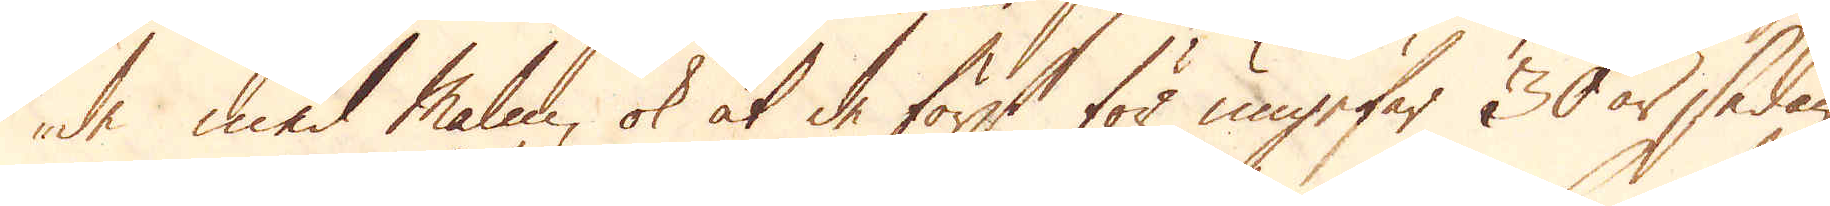de med malm, ok at de först för ungefär 30 år sedan
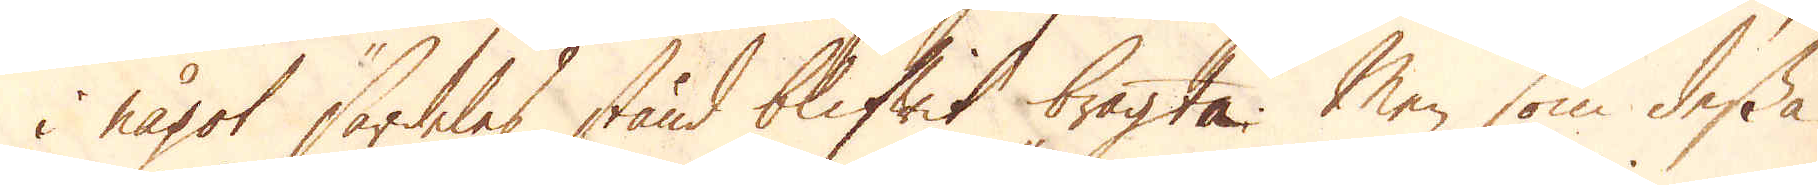i något särdeles stånd blifwit bragta. Men som dessa
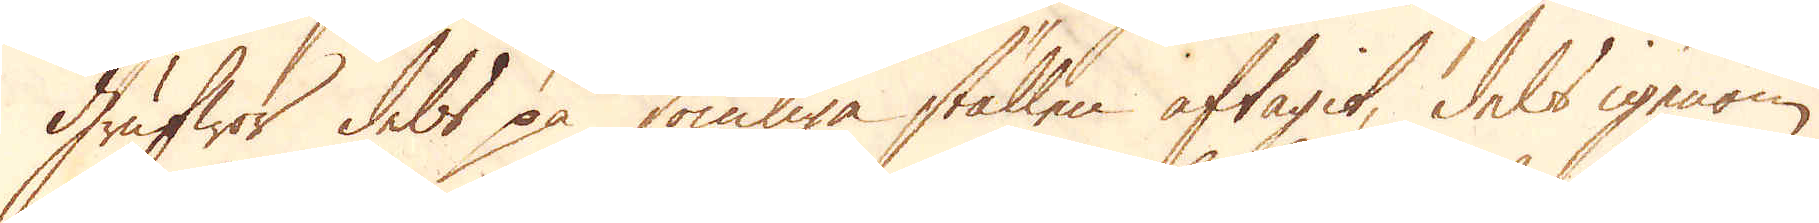Grufwor dels på somliga ställen aftagit, dels igenom
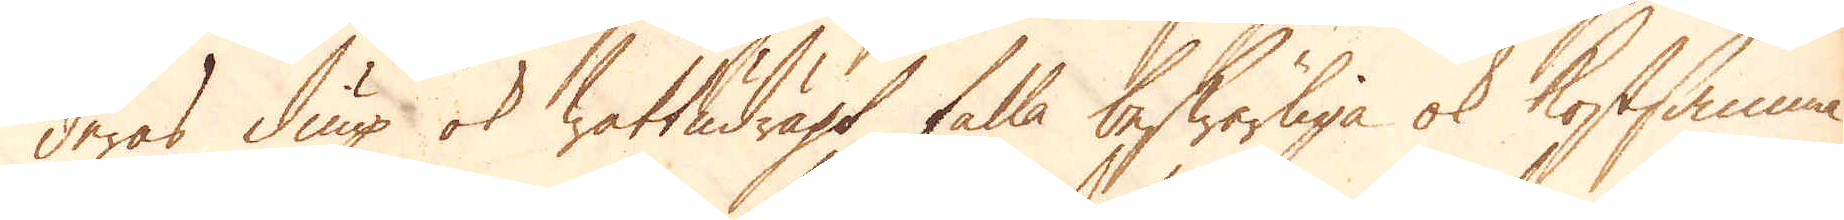deras diup ok wattudragt falla beswärliga ok kostsamma.
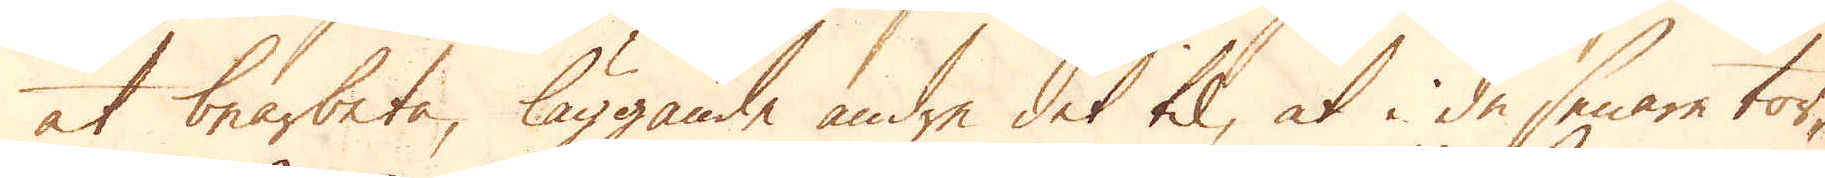at bearbeta, läggande andre det til, at i de senare tor-
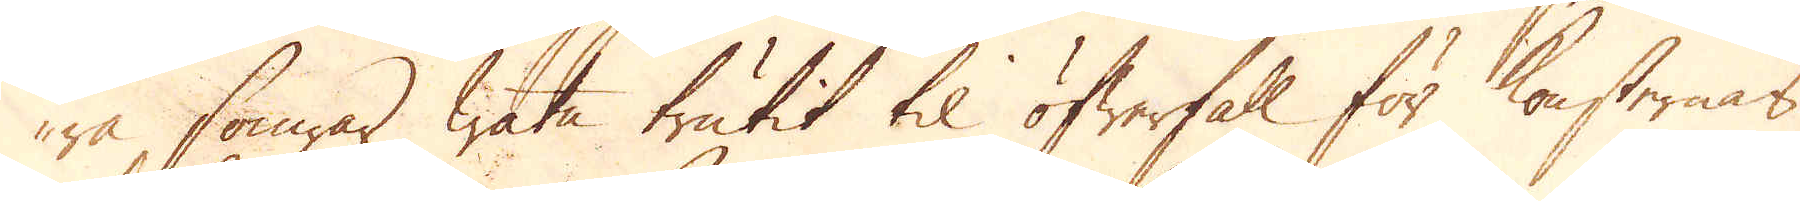ra somrar watn trutit til öfwerfall för konsternas
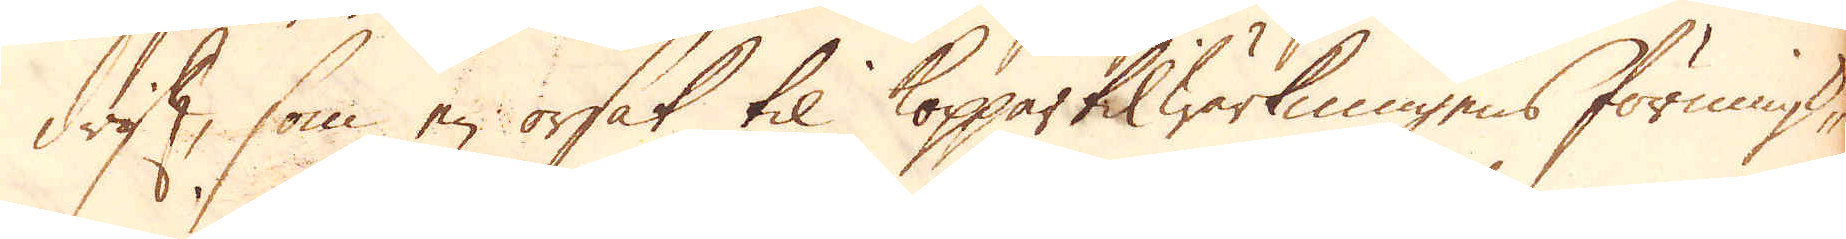drift, som en orsak til Koppartilwärkningens förminsk-
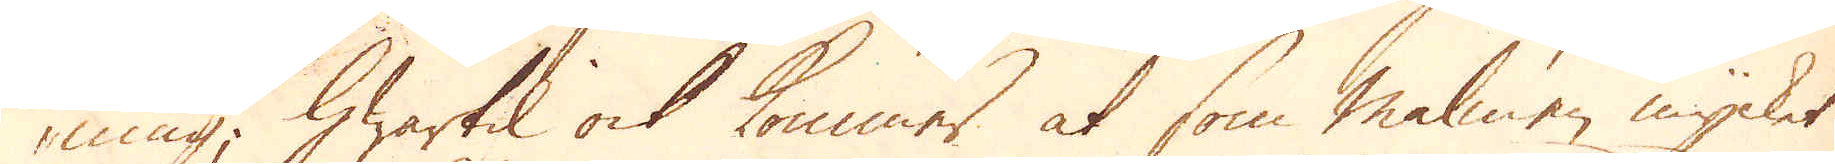ning, hwartil ock kommer at som malmen mycket
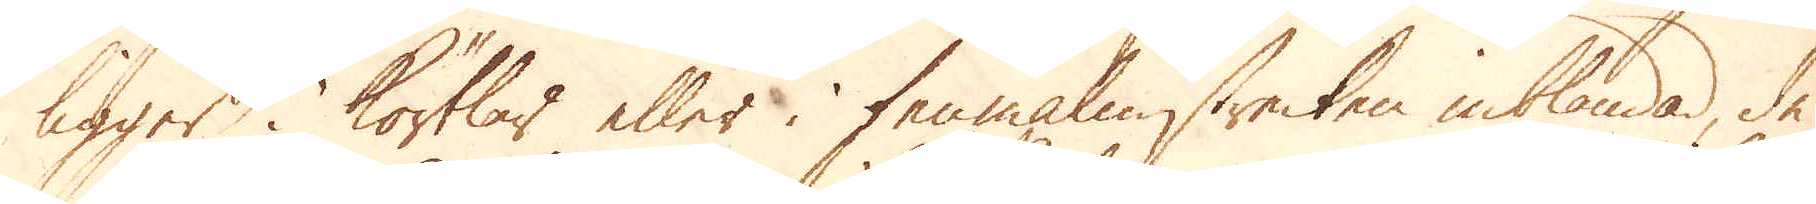ligger i körtlar eller i tenmalmstrecken inblandad, de
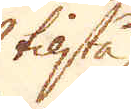tilstå
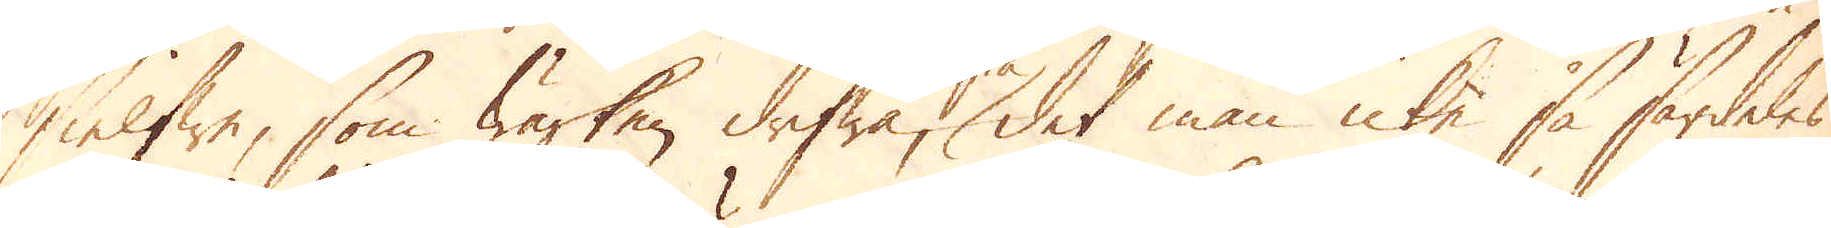sielfwe, som Wärken drifwa, det man icke så särdeles
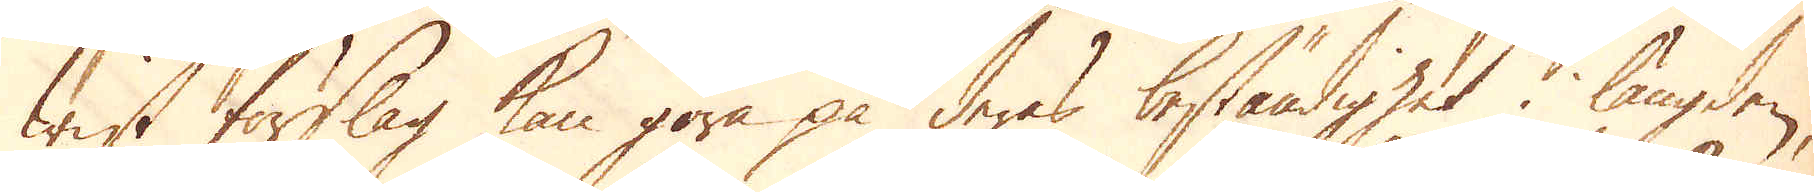wist förslag kan göra på deras beständighet i längden;
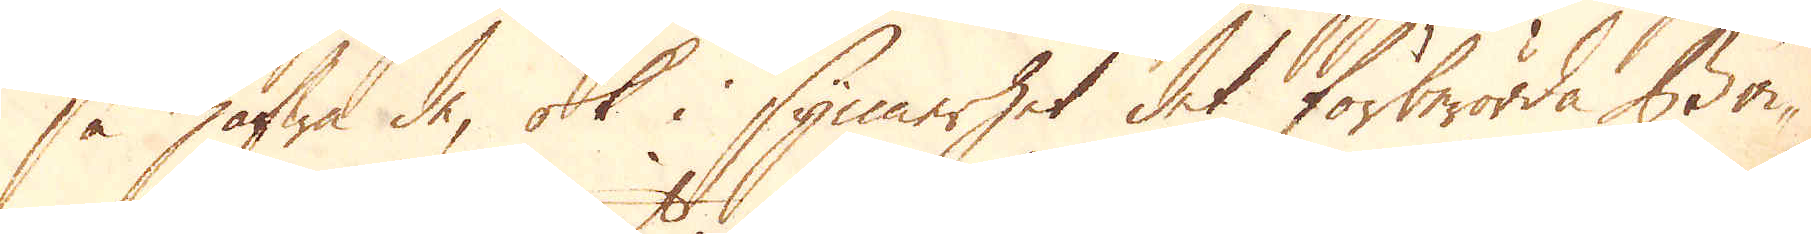så hafwa de, ok i synnerhet det förberörda Bri-
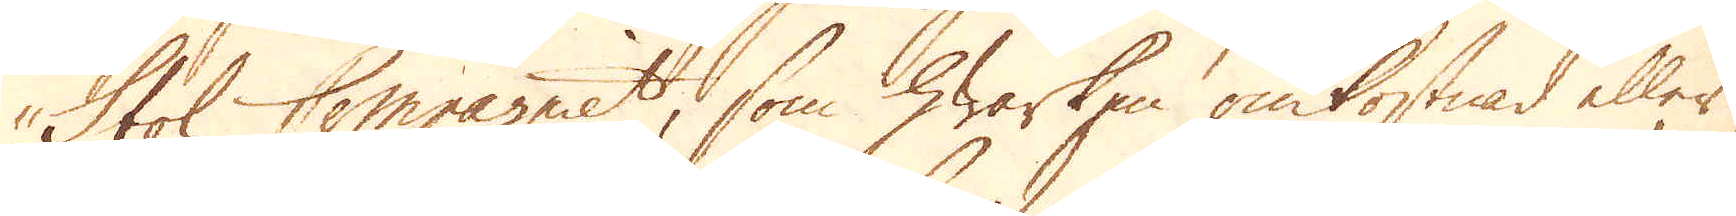stol Compagniet, som hwarken omkostnad eller
